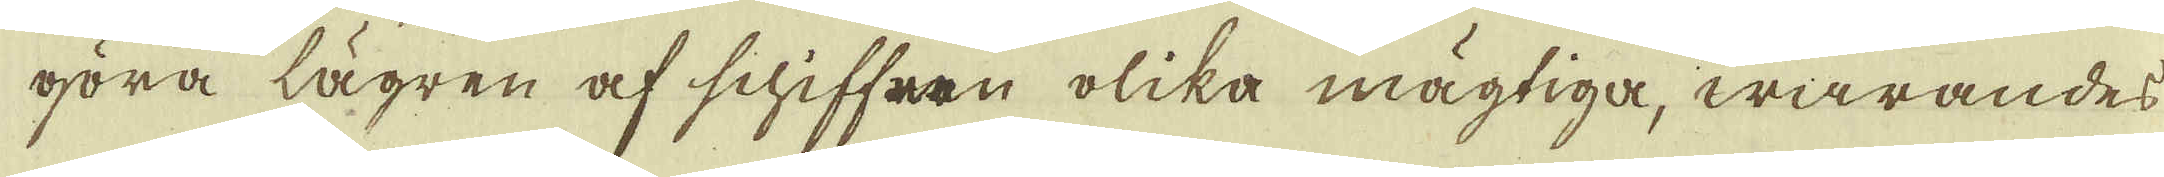göra lägren af schiffren olika mägtiga, warandes
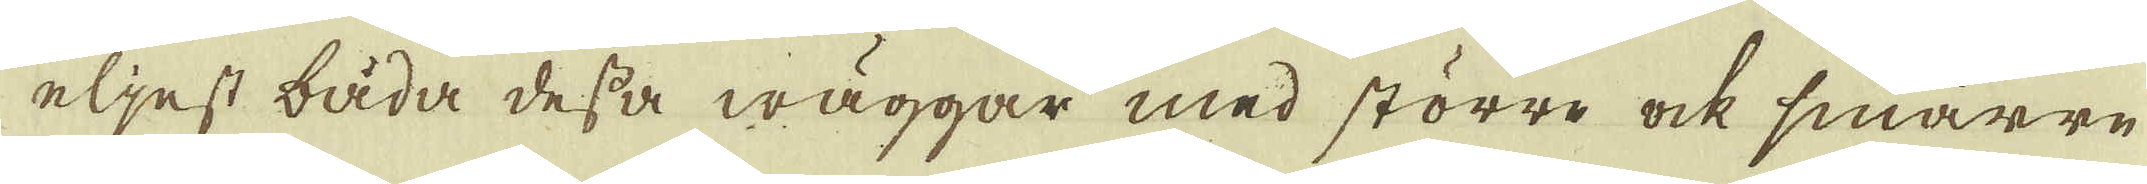eljest båda dessa wäggar med större ock smärrre
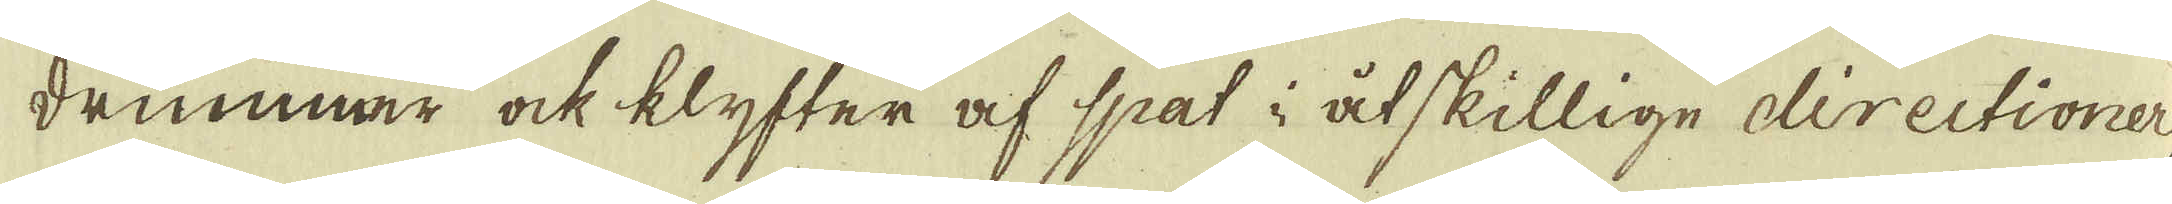drummar ock klyfter af spat i åtskillige directioner
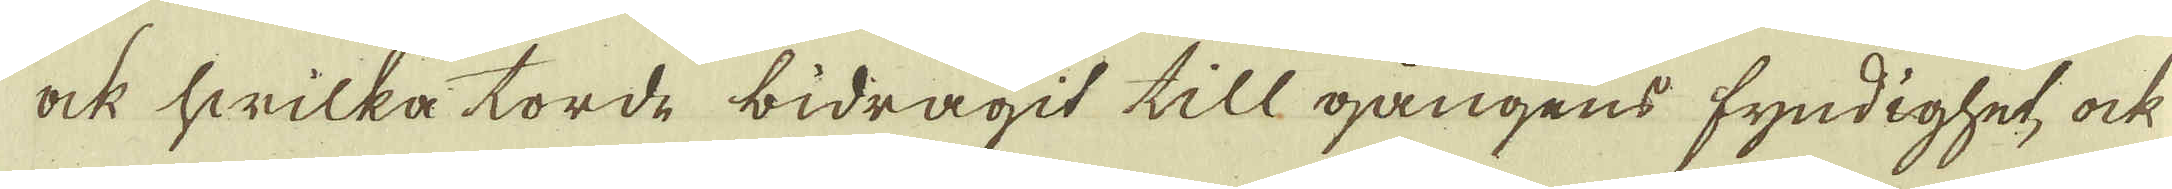ock hwilka torde bidragit till gångens fyndighet, ock
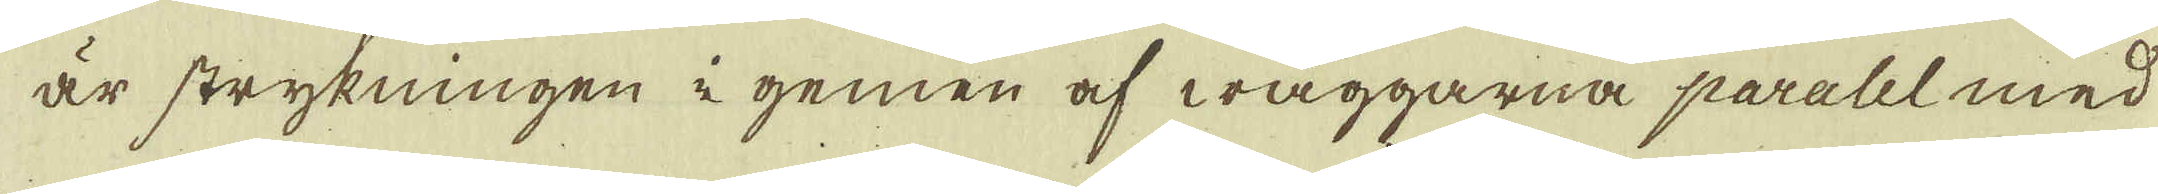är strykningen i gemen af wäggarna paralel med
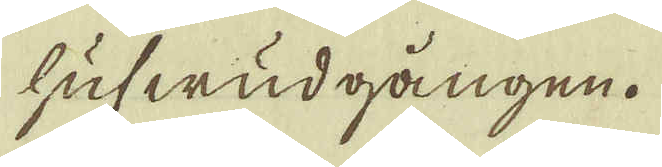hufwudgången.
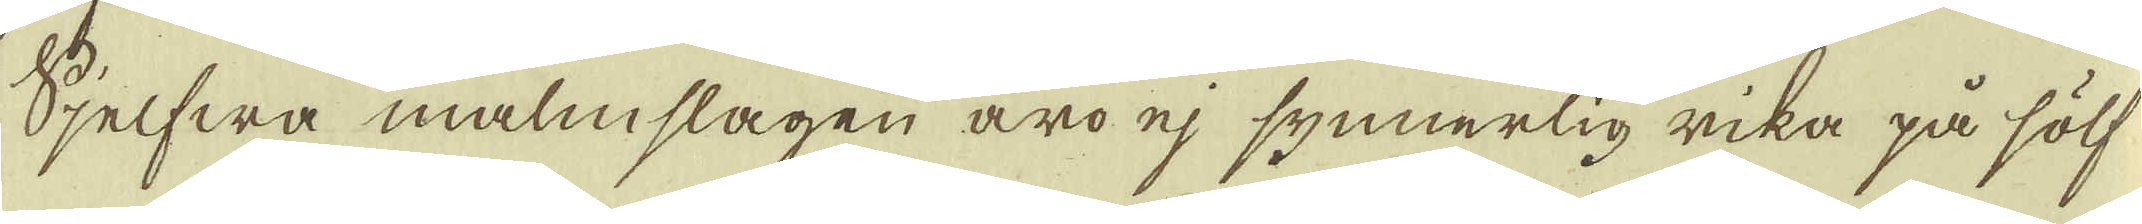Sjelfwa malmslagen äro ej synnerlig rika på sölf
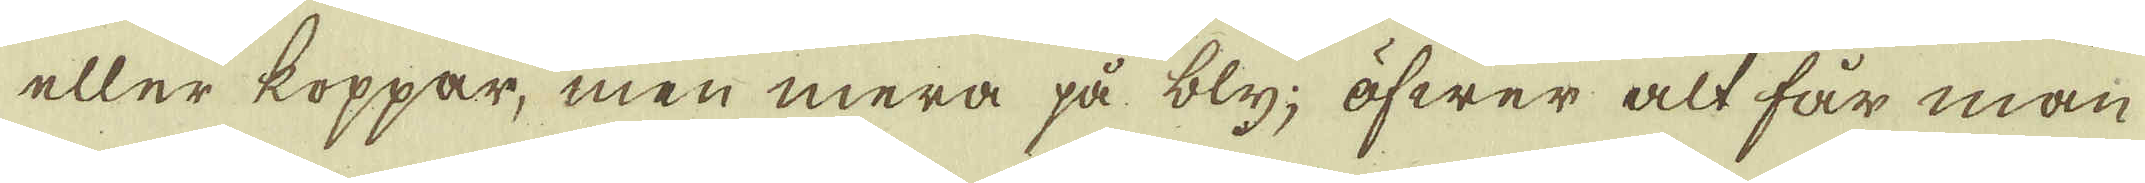eller koppar, men mera på bly, öfwer alt får man
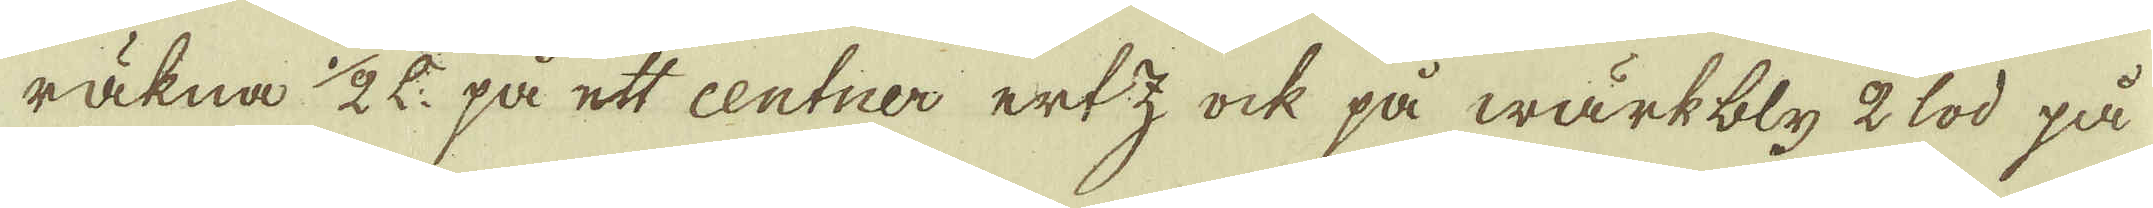räkna 1/2 L: på ett centner ertz ock på wärkbly 2 lod på
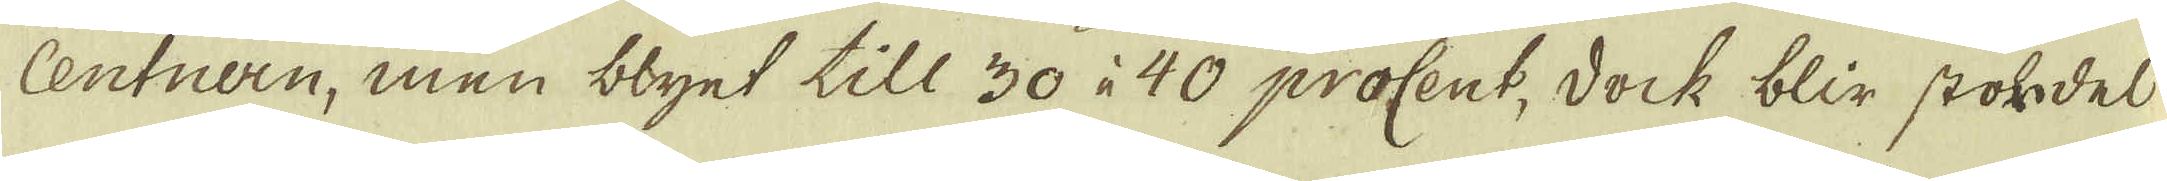Centnern, men blyet till 30 à 40 procent, dock blir stohrdel
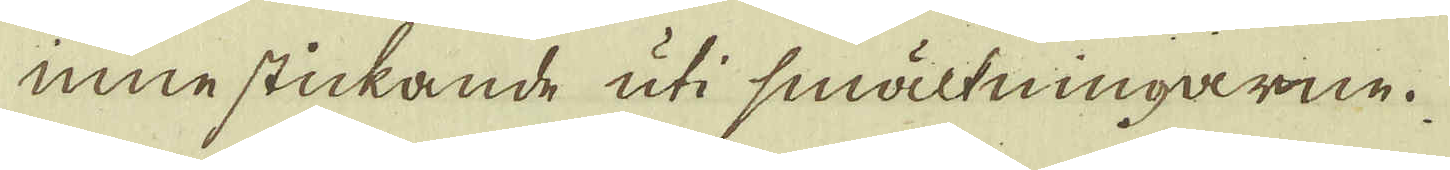innestickande uti smältningarne.
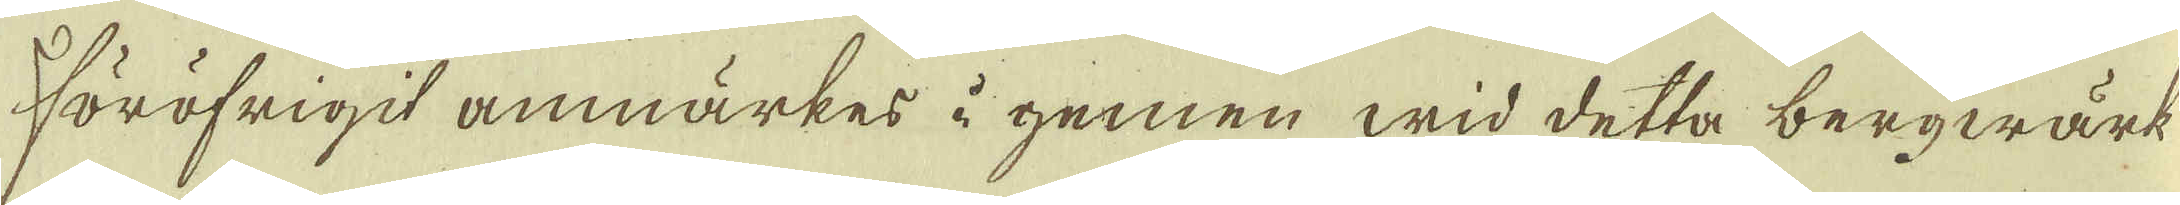Föröfrigit anmärkes i gemen wid detta bergwärk
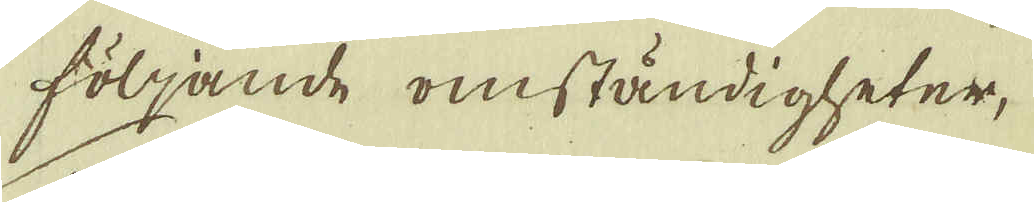följande omständigheter,
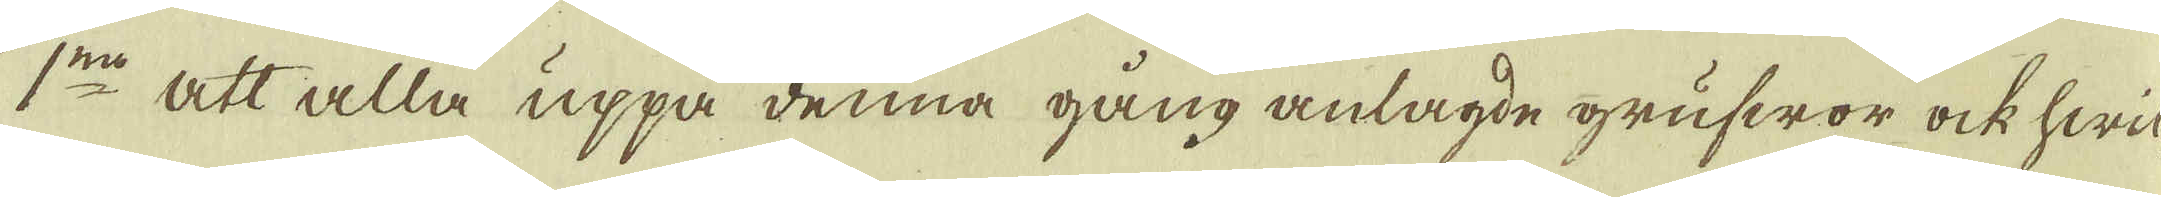1:mo att alla uppå denna gång anlagde grufwor ock hwil-
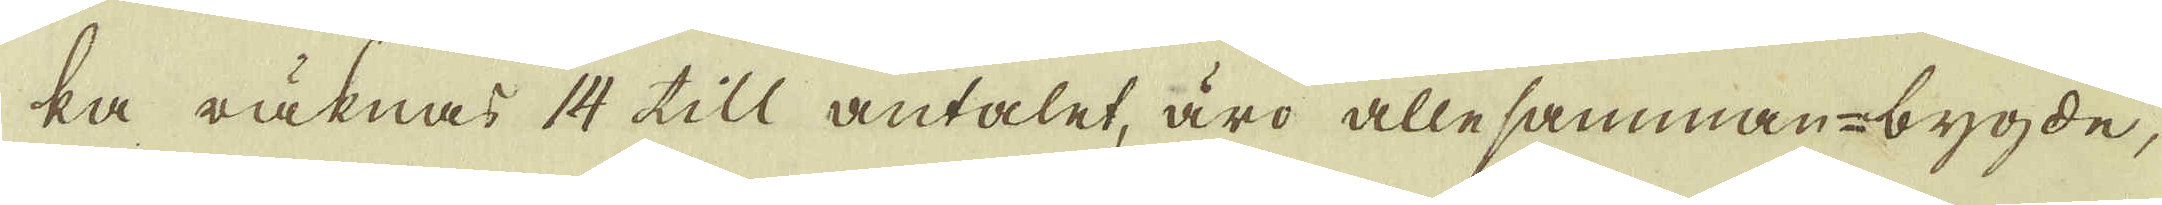ka räknar 14 till antalet, äro allesamman-bygde,
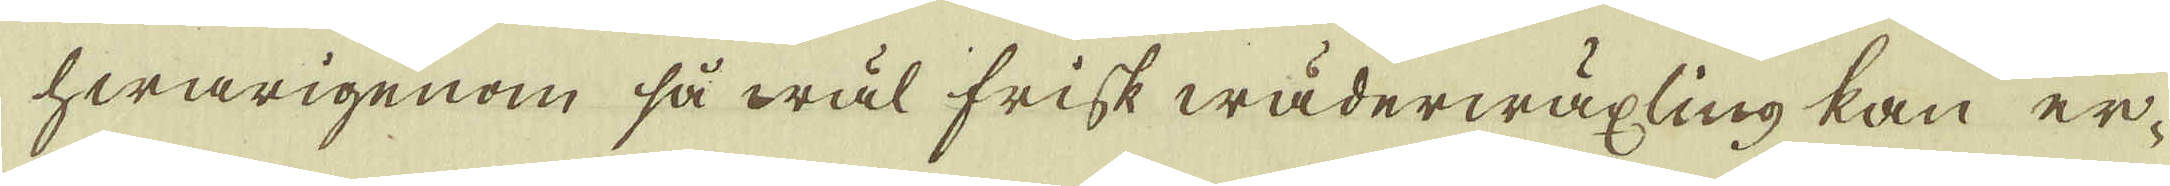hwarigenom så wäl frisk wäderwäxling kan er-
